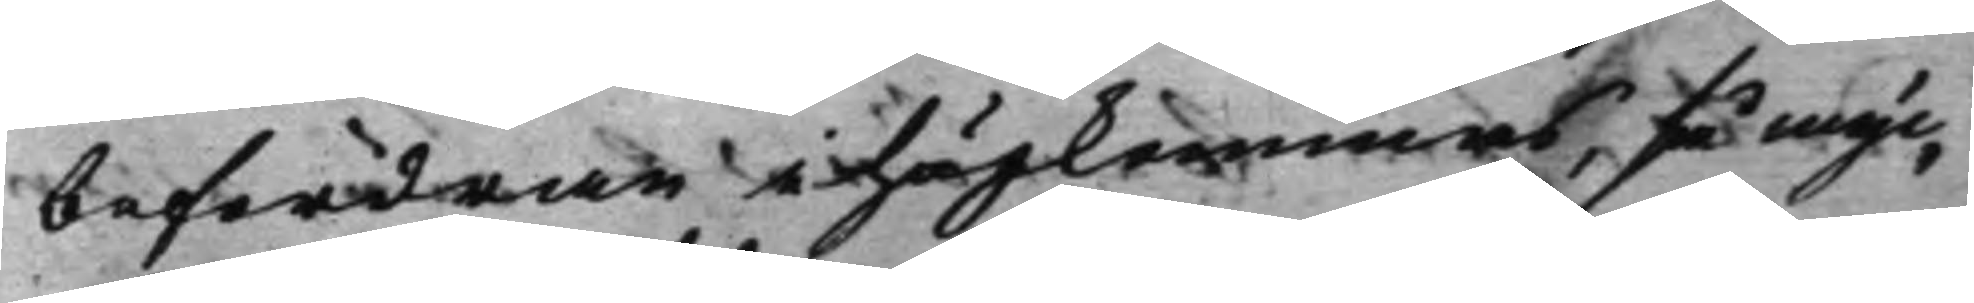befordran i hågkommas, så myc¬
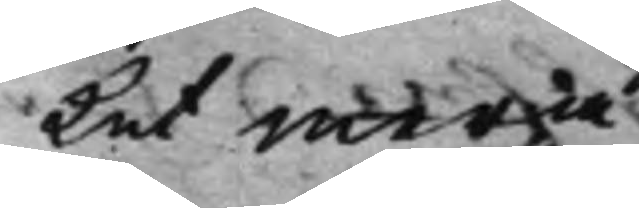ket mera
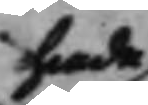hade
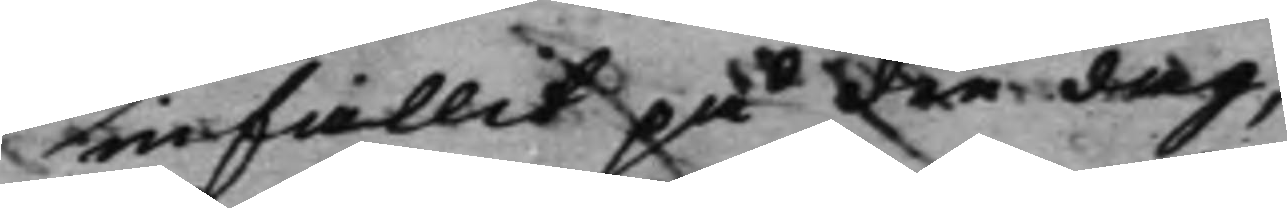infallit på den dag,
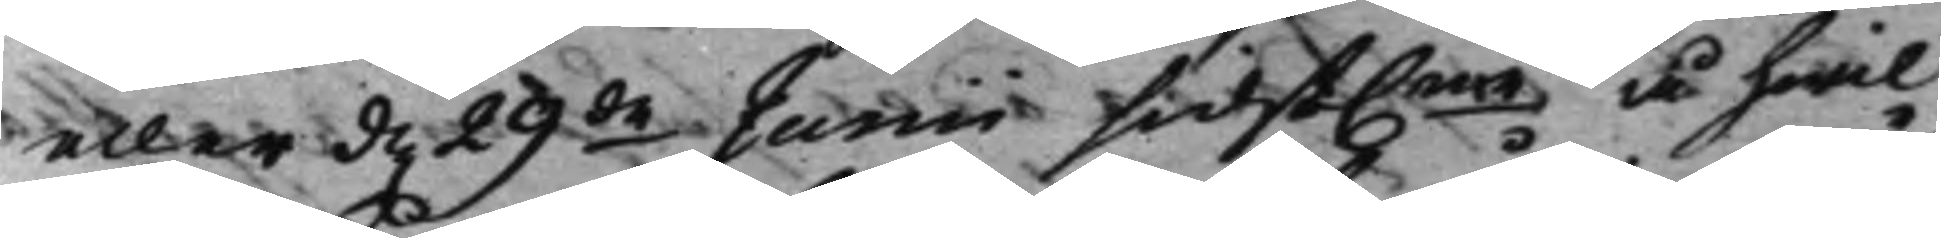eller d. 29de Junii sidst.ne å hwil¬
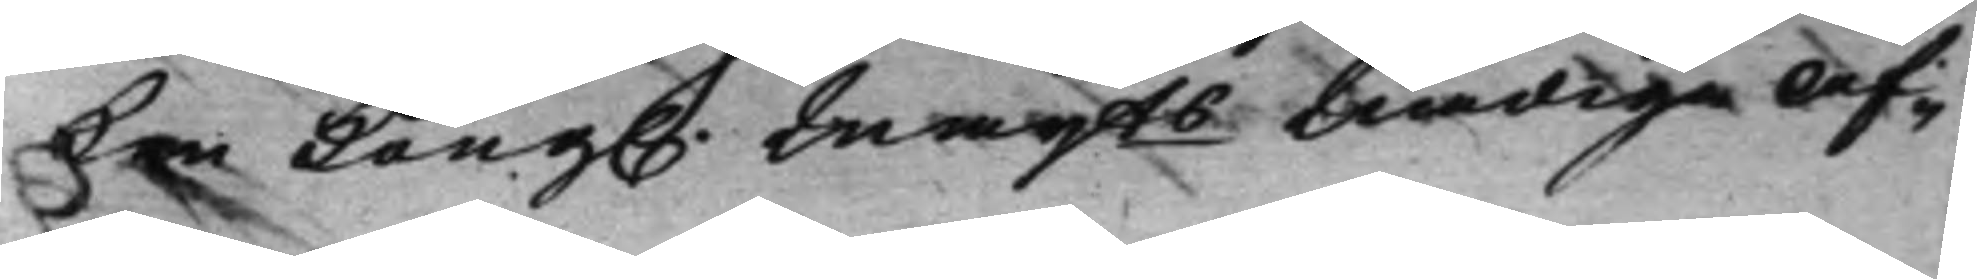ken Kong. Maijts nådiga Af¬ 
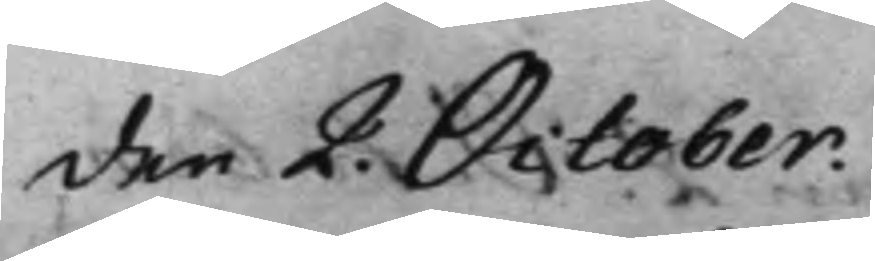den 2. October.
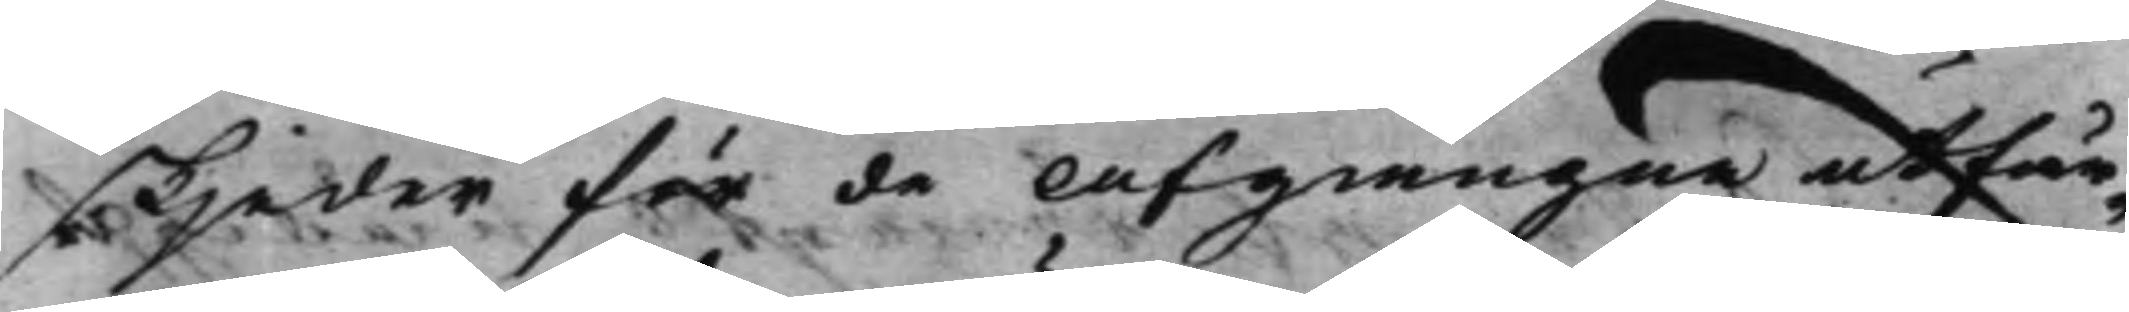skjeder för de Afgångne utfär¬
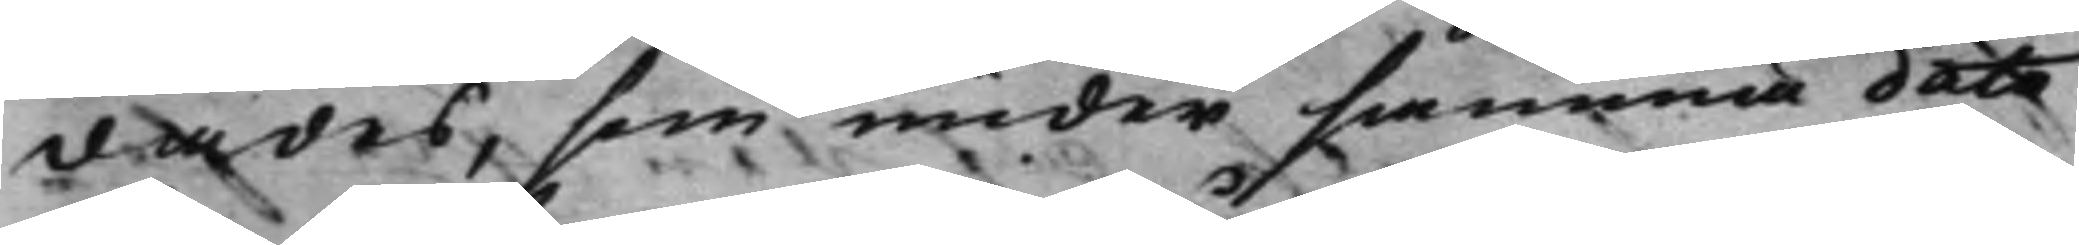dades, som under samma dato
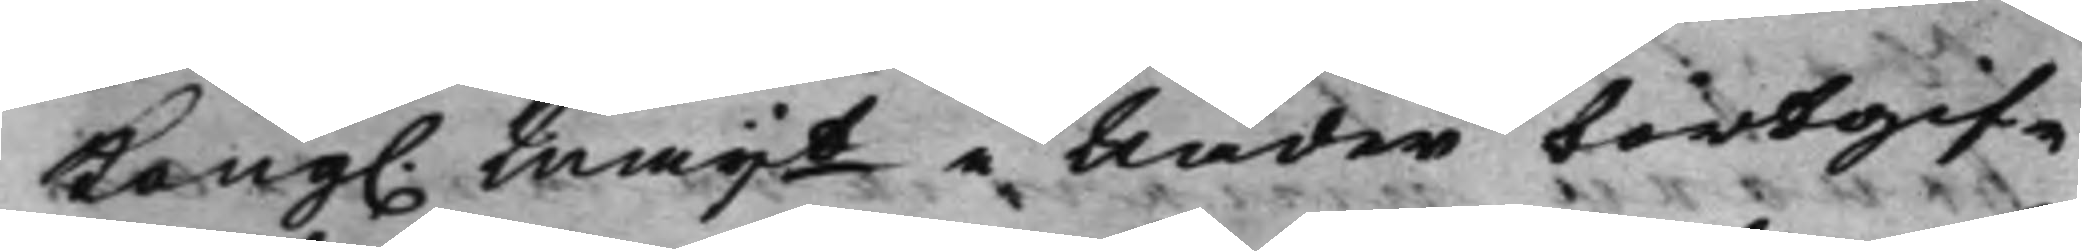Kong. Maijt i Nåder bortgif¬ 
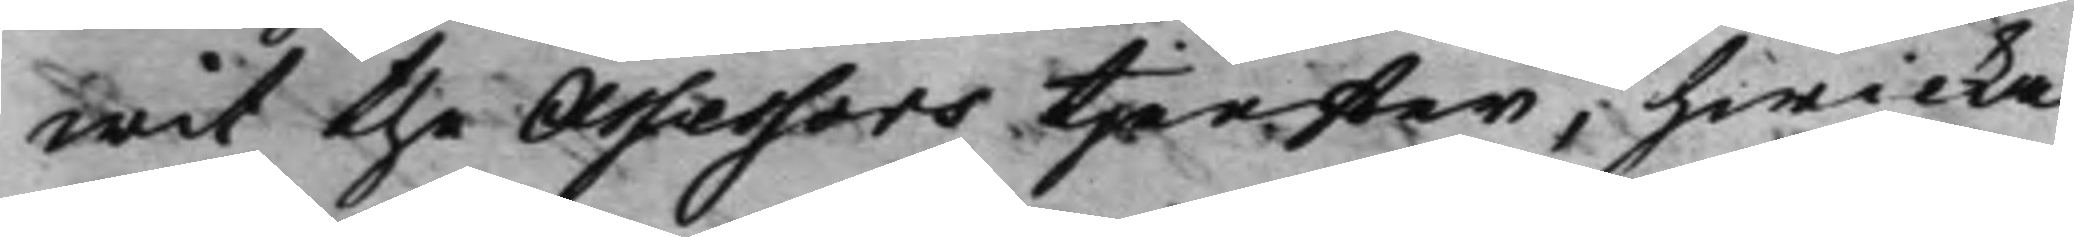wit the Assessors tjenster, hwilka
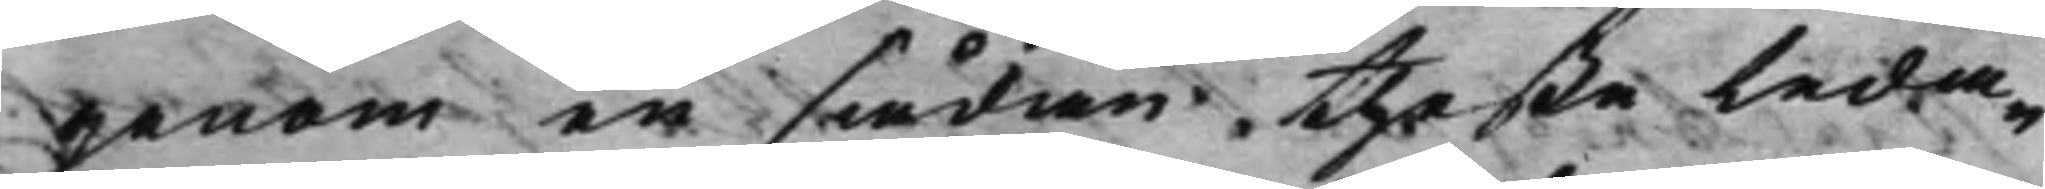genom en sådan theße Leda¬
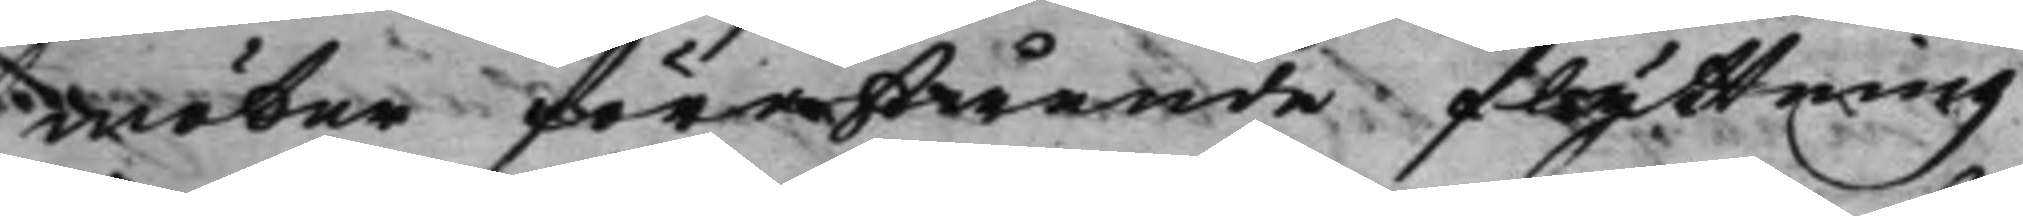möter förestånde flyttning
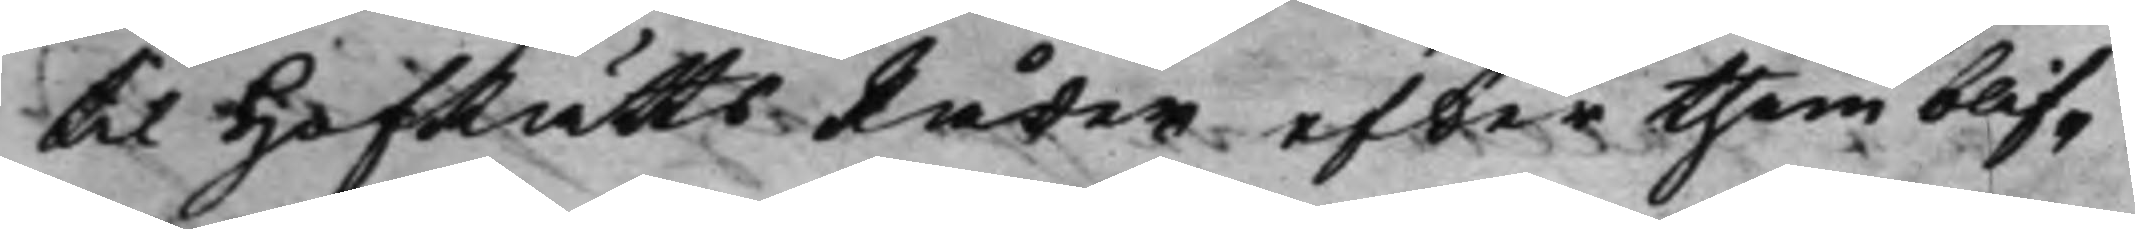til HofRättsRåder efter them blif¬
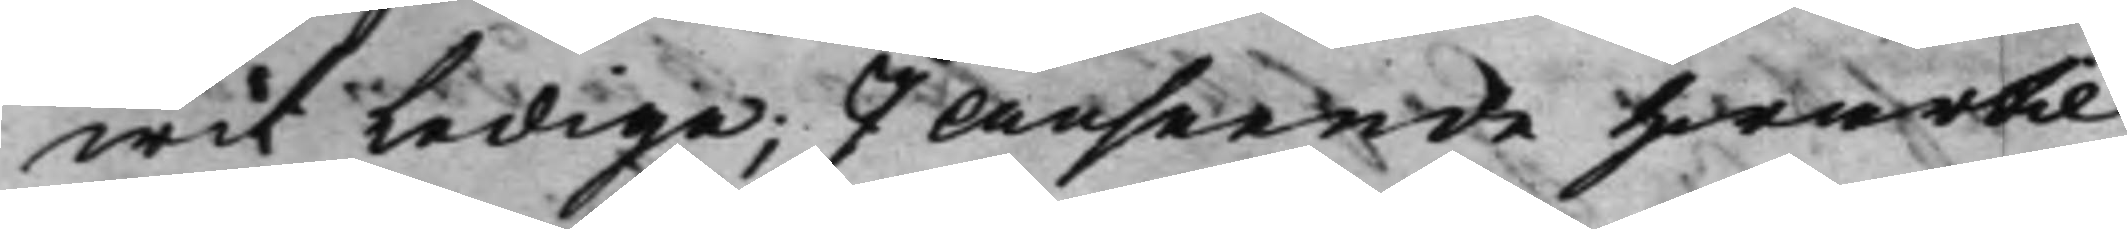wit Lediga; I anseende Hwartil
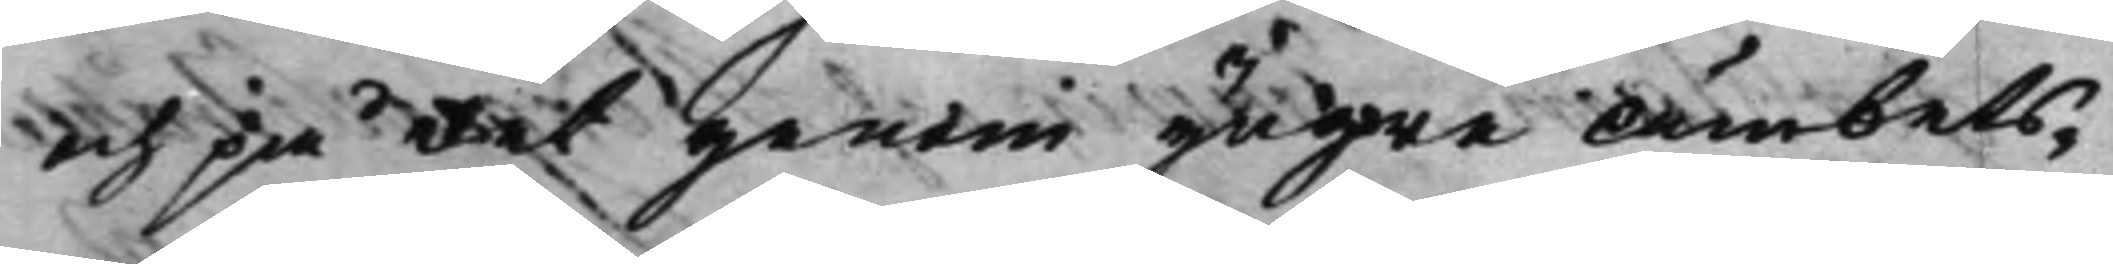och på det genom yngre Ämbets¬
